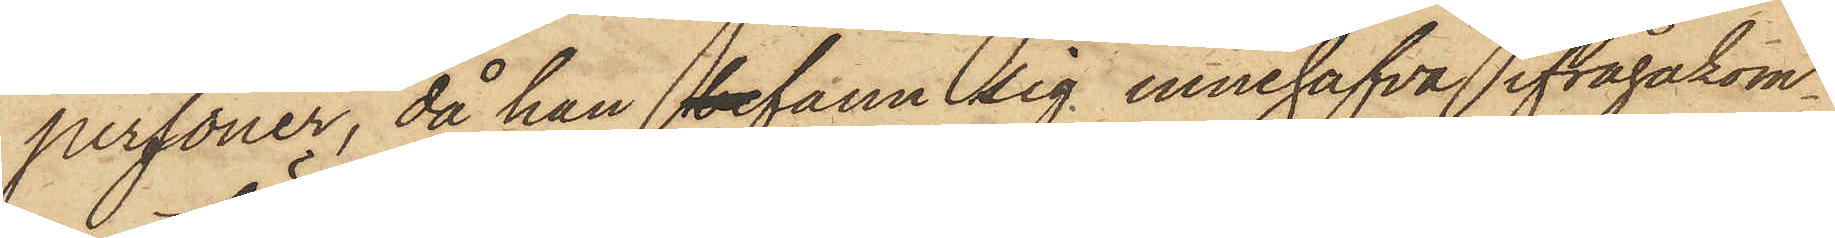personer, då han befann sig innehafva ifrågakom¬
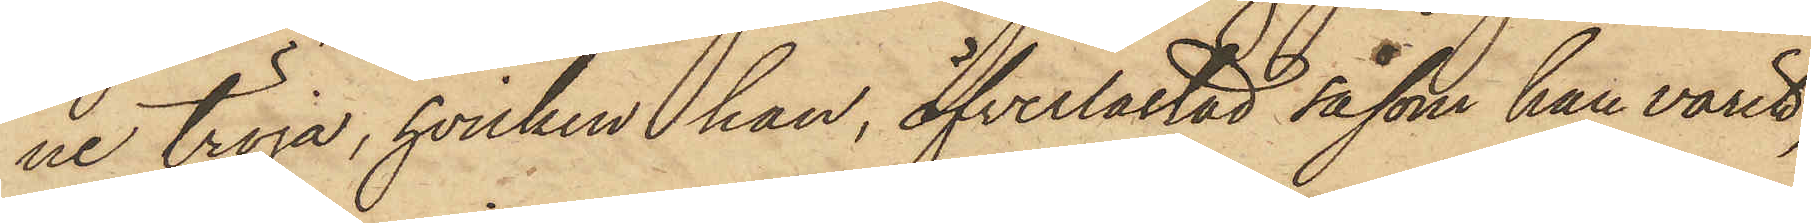ne tröja, hvilken han, öfverlastad såsom han varit,
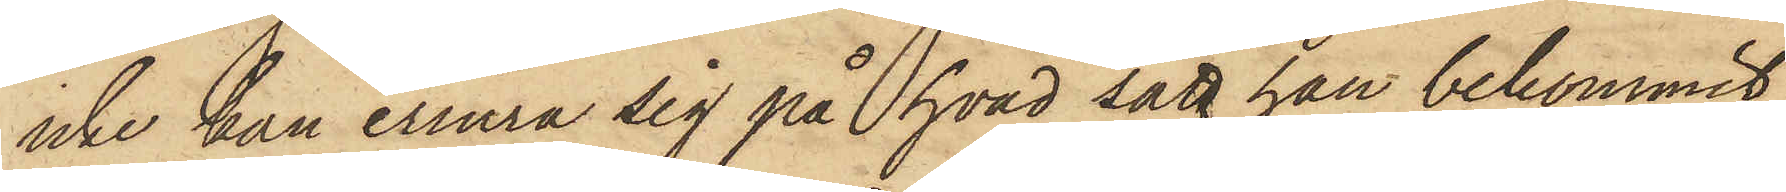icke han erinra sig på hvad sätt han bekommit,
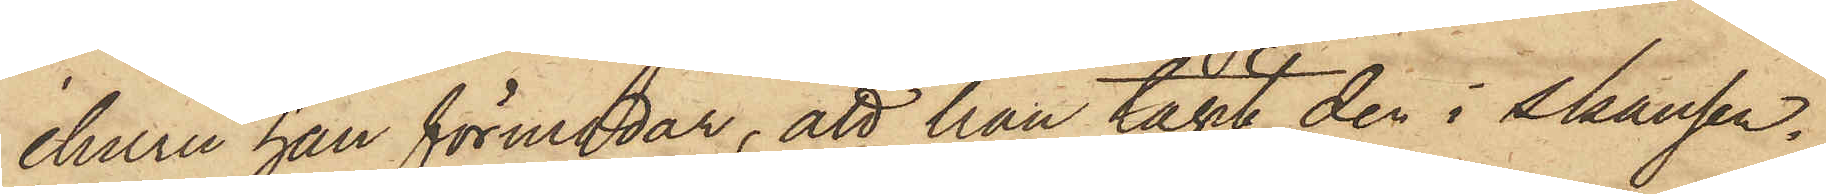ehuru han förmodar, att han tagit den i skansen.
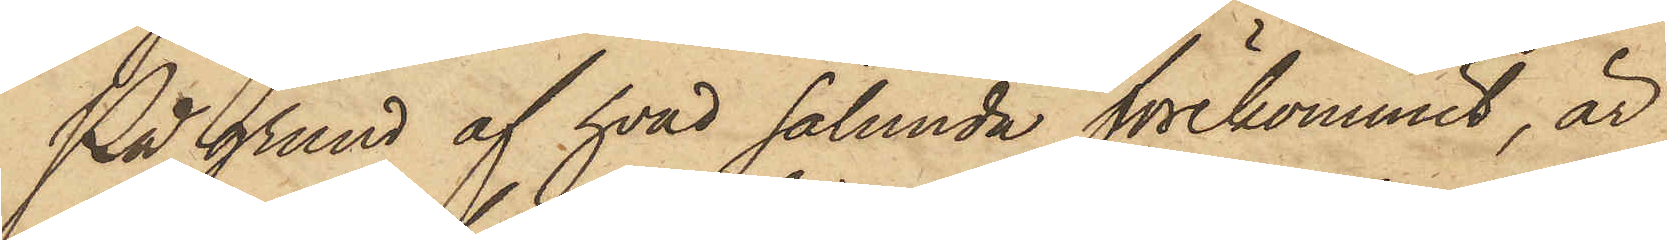På grund af hvad sålunda förekommit, är
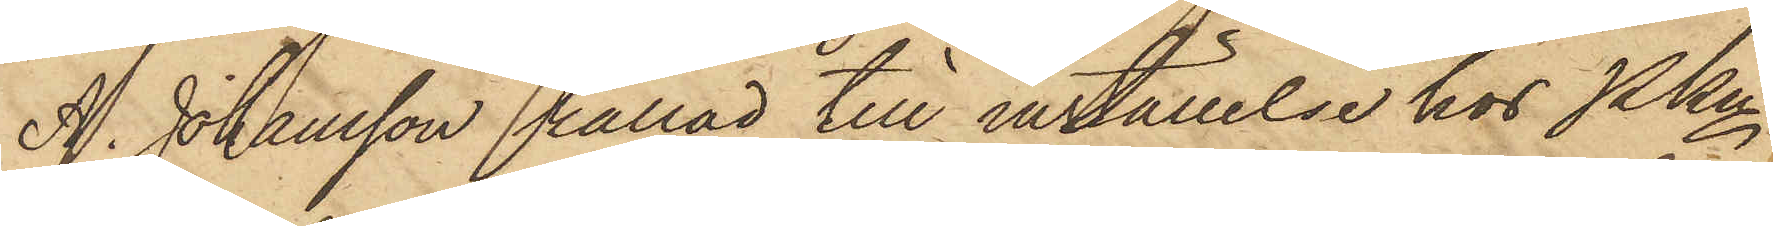A. Johansson kallad till inställelse hos Pkn
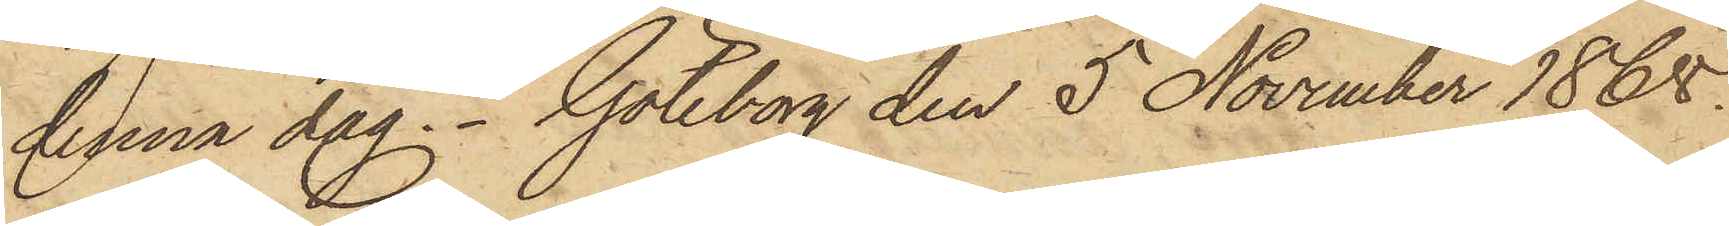denna dag. Göteborg den 5 November 1865.
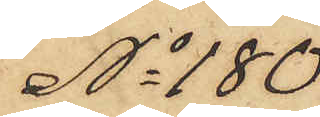No 180
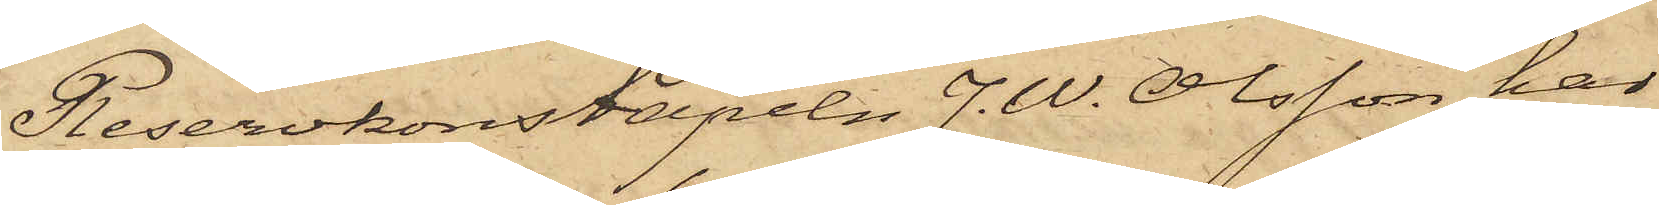Reservkonstapeln J. W. Olsson har
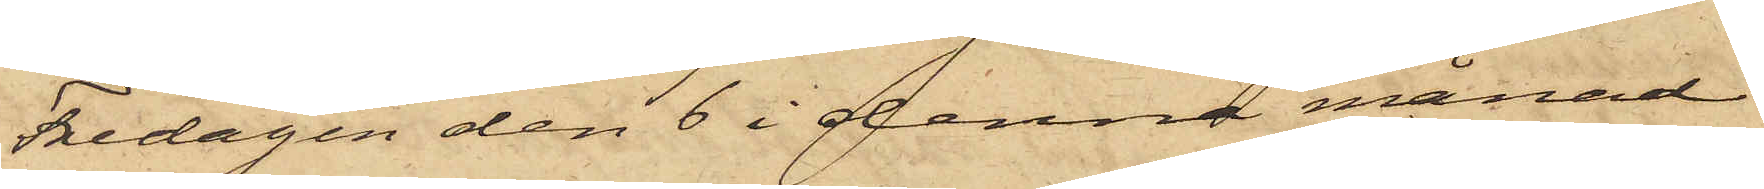Fredagen den 6 i denna månad
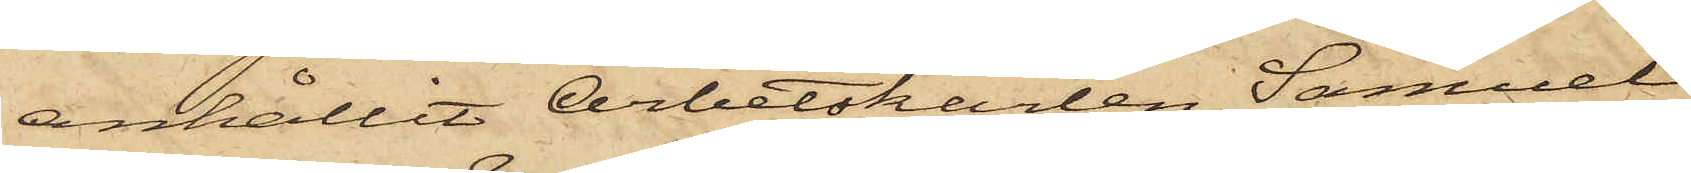anhållit Arbetskarlen Samuel
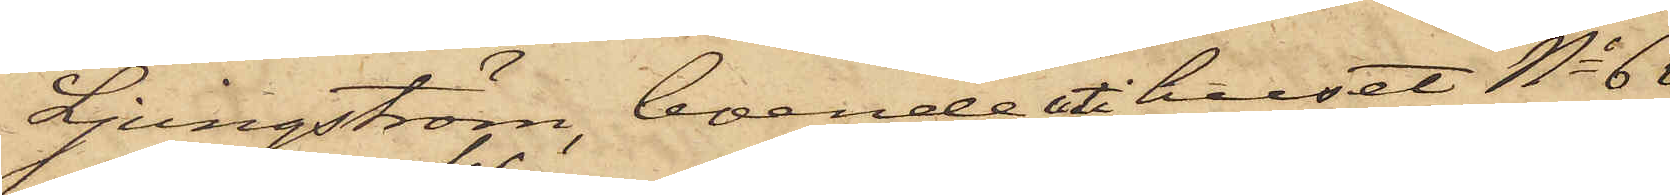Ljungström, boende i huset No 6
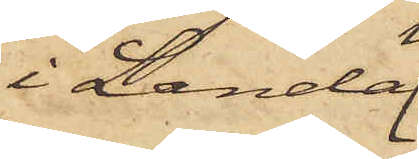i Landa¬
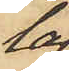la¬
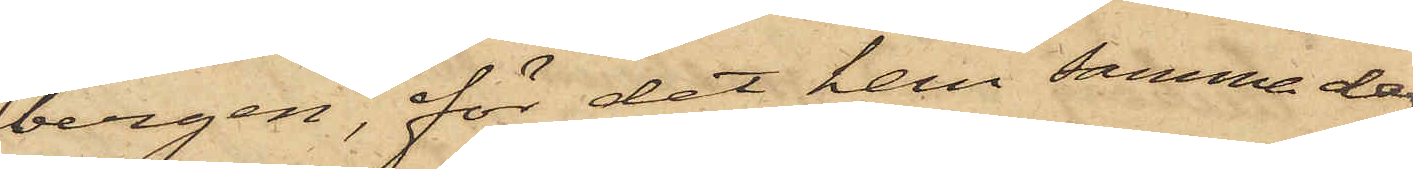bergen, för det han samma dag
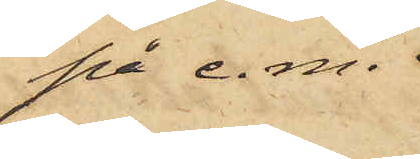på e. m.
